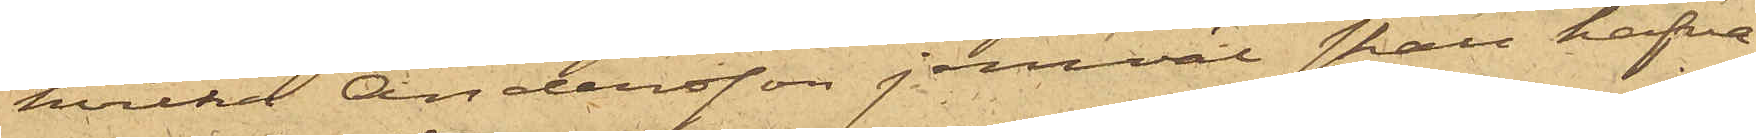hvilka Andersson jemväl skall hafva
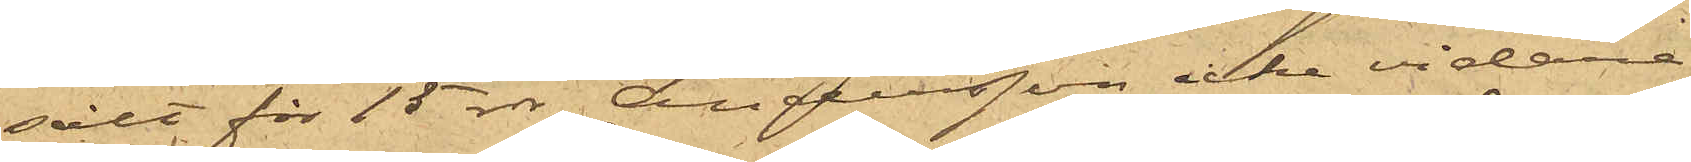sålt för 15 rdr, Andersson icke vidare
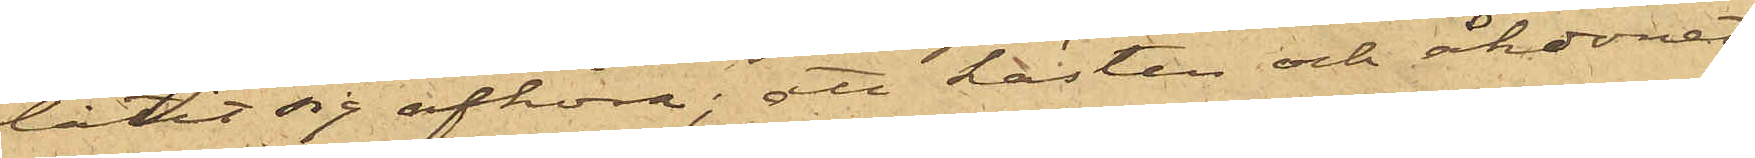låtit sig afhöra; att hästen och åkdonet,
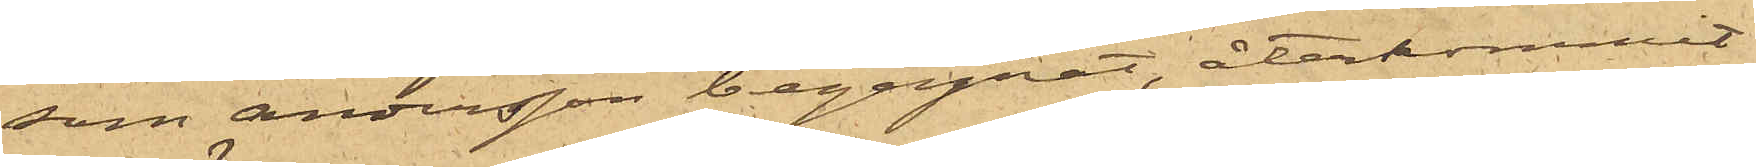som Andersson begagnat, återkommit
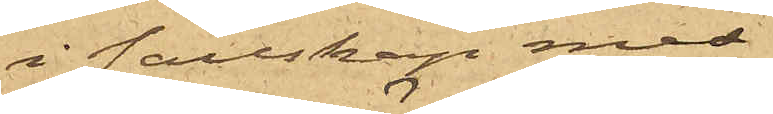i sällskap med
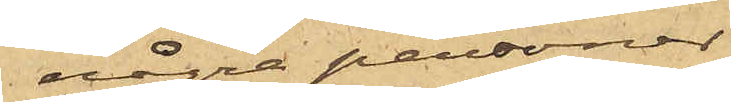några personer
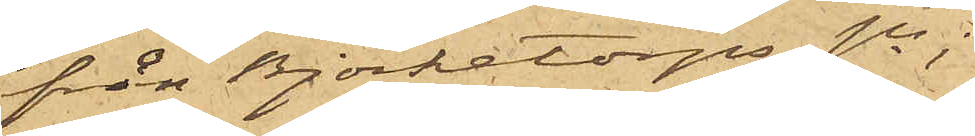från Björketorps sn;
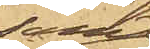samt
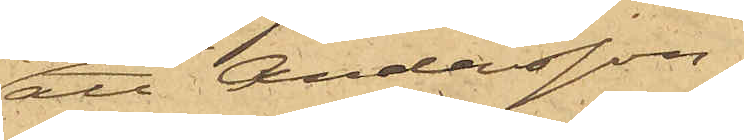att Andersson,
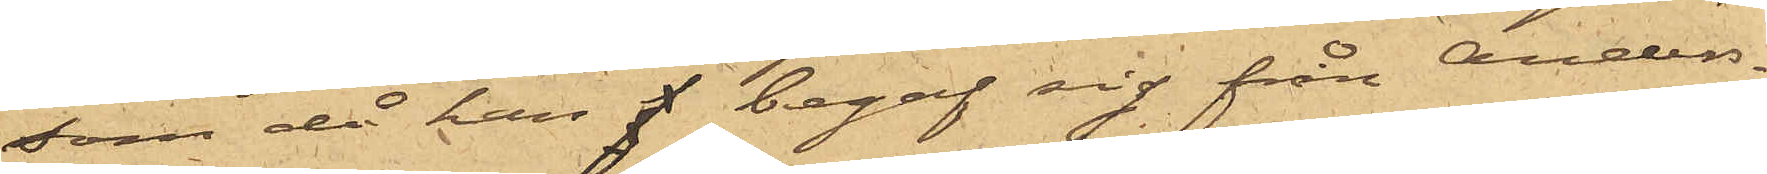som då han begaf sig från Anders¬
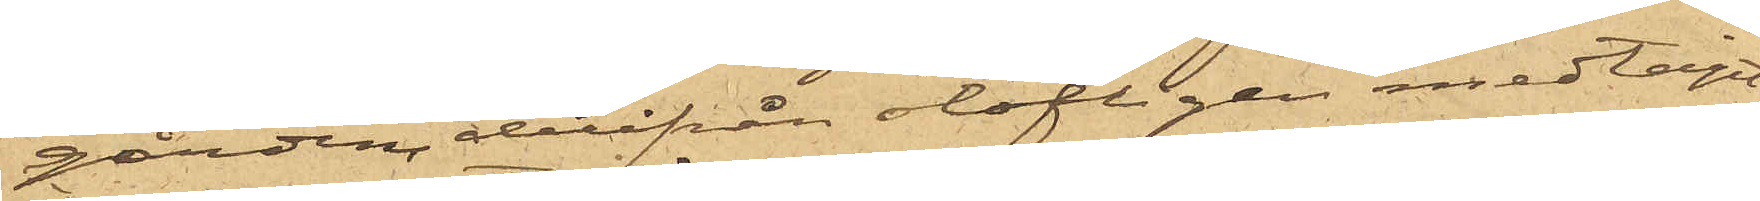gården, derifrån olofligen medtagit
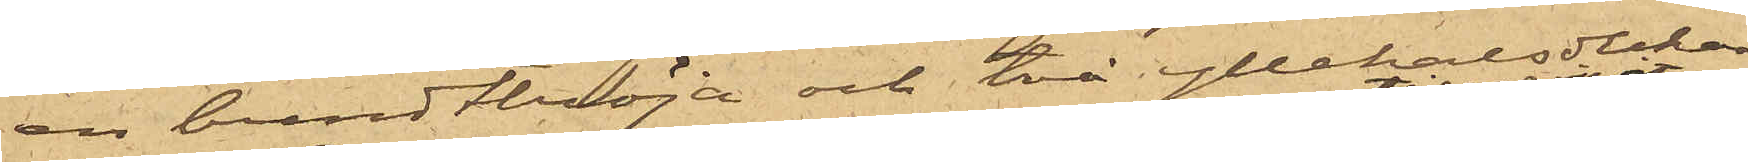en bundttröja och två yllehalsdukar,
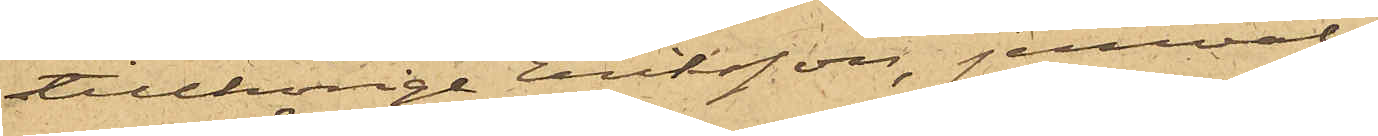tillhörige Eriksson, jemväl
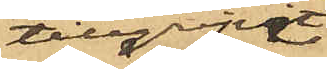tillgripit
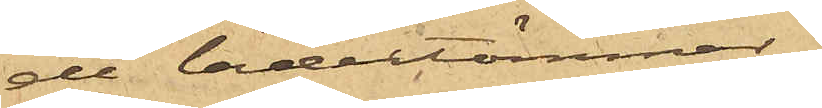de lädertömmar
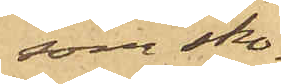som sko¬
